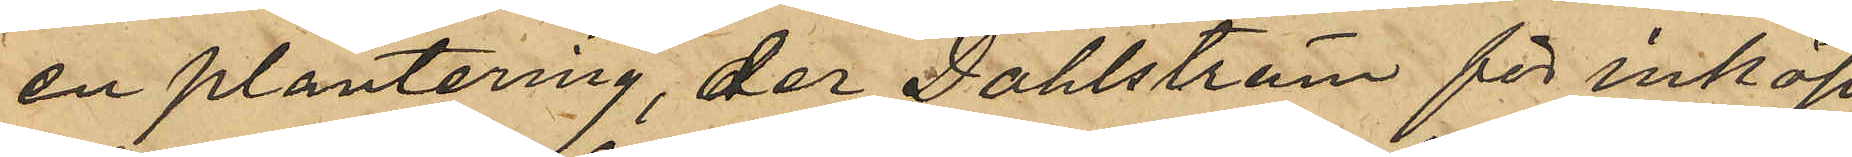en plantering, der Dahlström för inköp
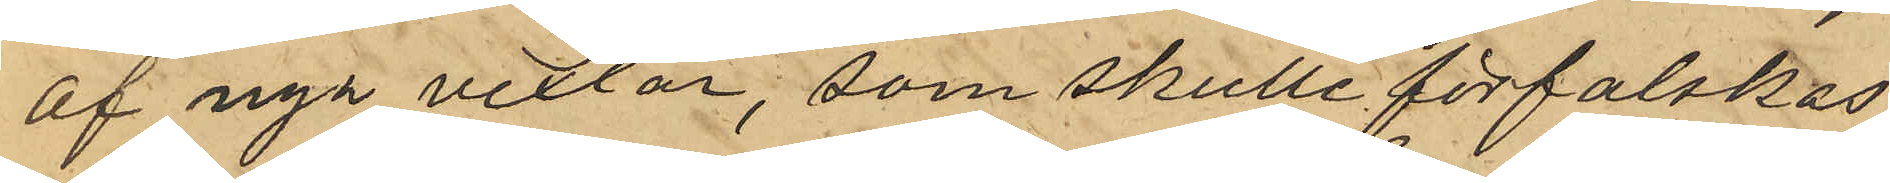af nya vexlar, som skulle förfalskas
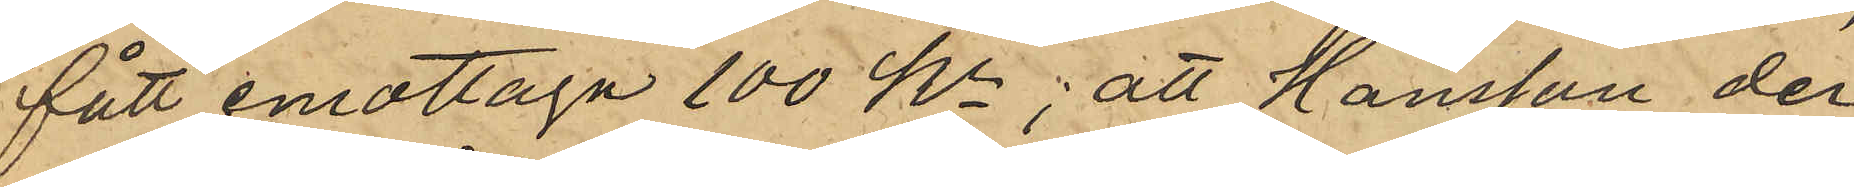fått emottaga 100 kr; att Hansson der¬
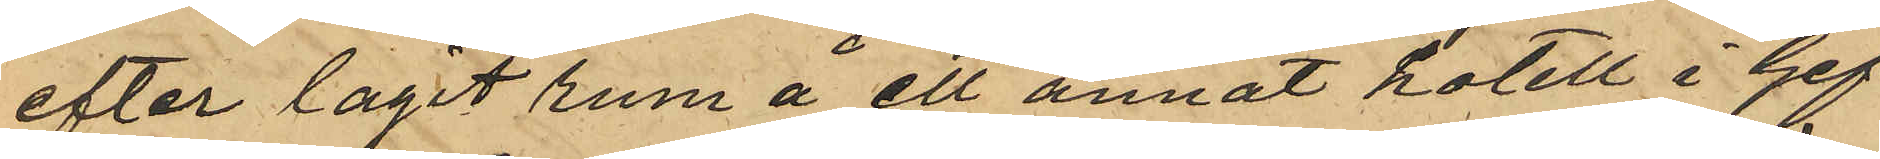efter tagit rum å ett annat hotell i Gef¬
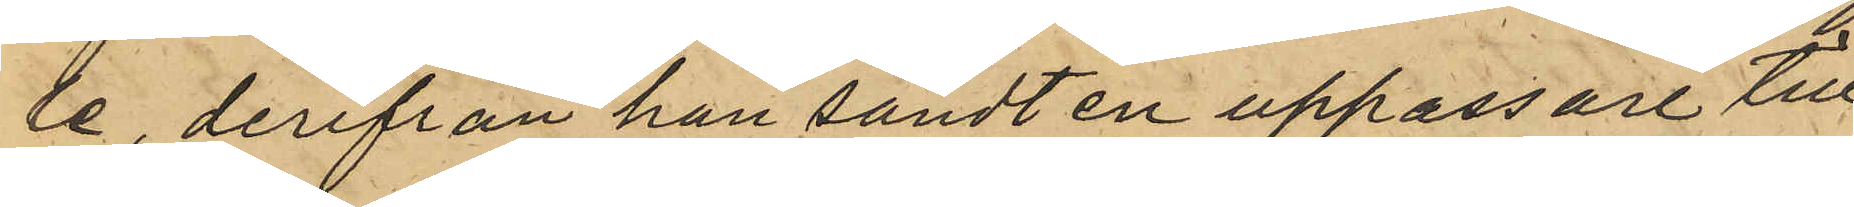le, derifrån han sändt en uppassare till
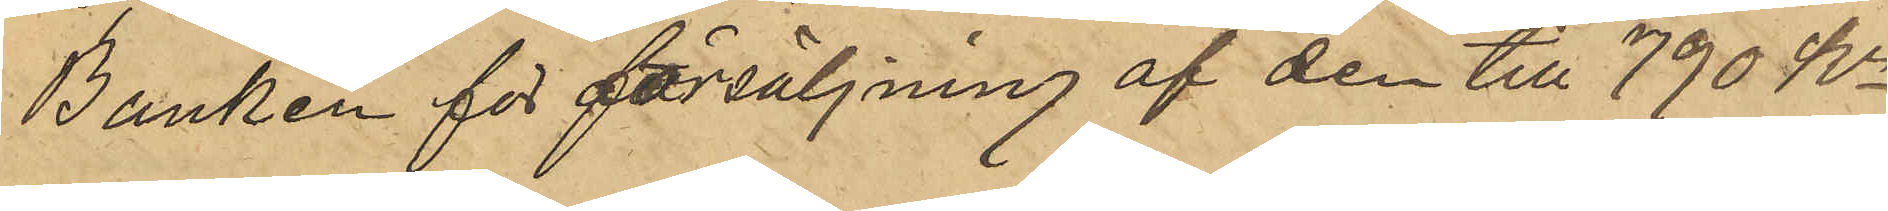Banken för försäljning af den till 790 Kr
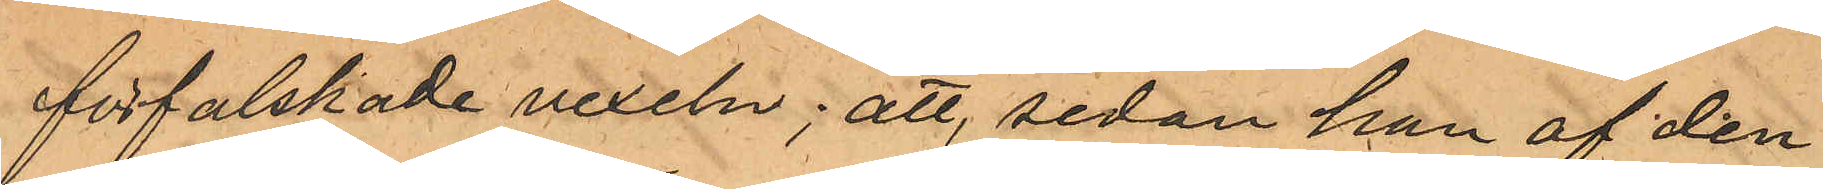förfalskade vexeln; att sedan han af den¬
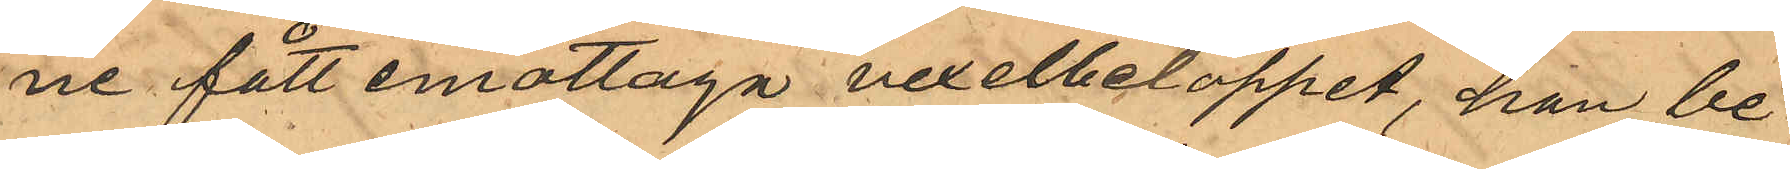ne fått emottaga vexelbeloppet, han be¬
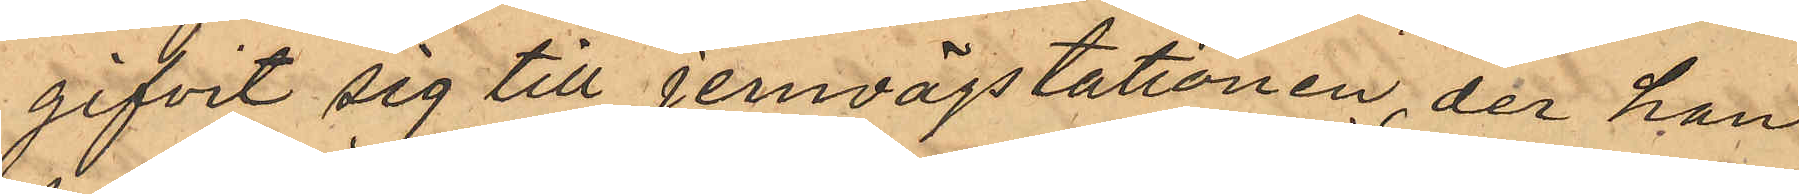gifvit sig till jernvägstationen, der han
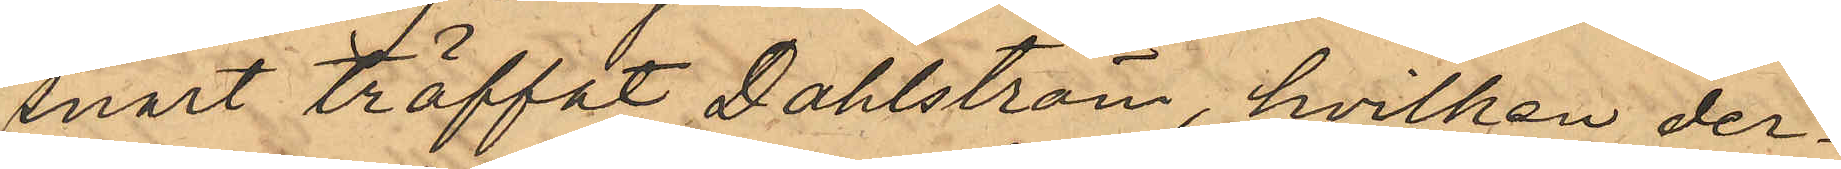snart träffat Dahlström, hvilken der¬
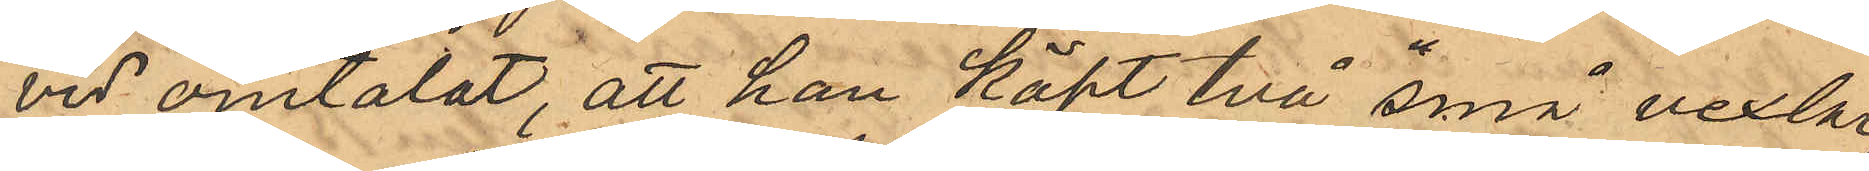vid omtalat, att han köpt två "små vexlar",
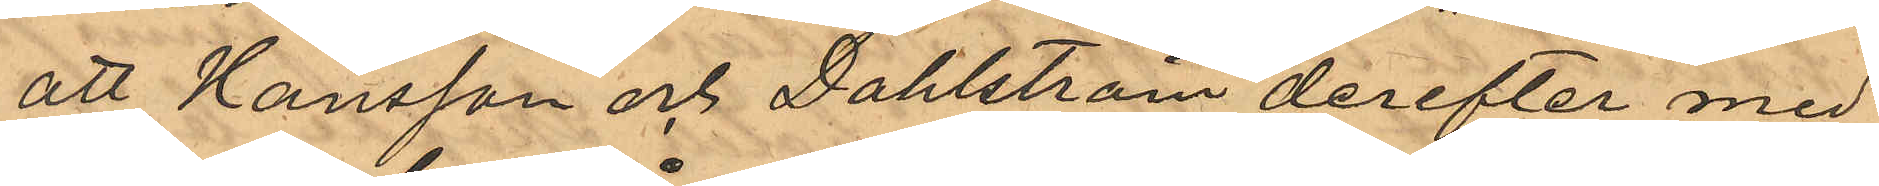att Hansson och Dahlström derefter med
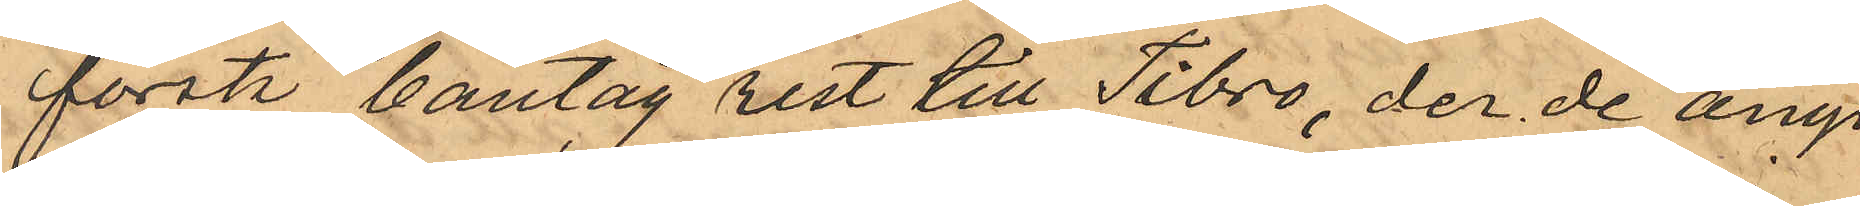första bantåg rest till Tibro, der de ånyo
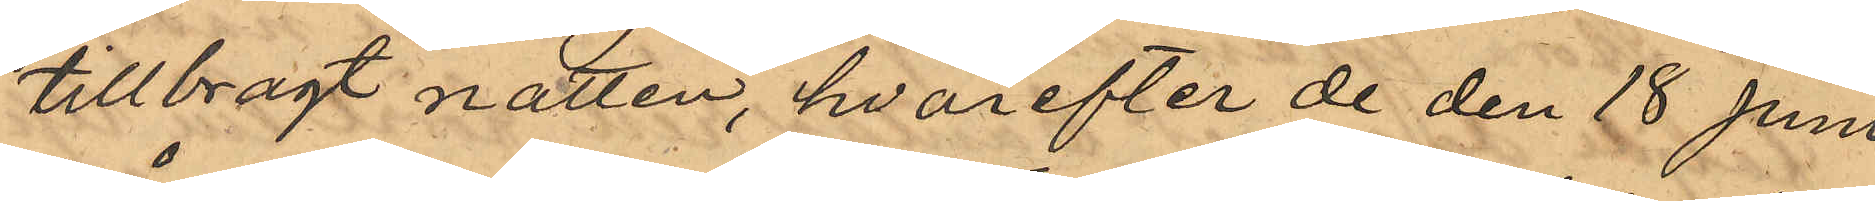tillbragt natten, hvarefter de den 18 Juni
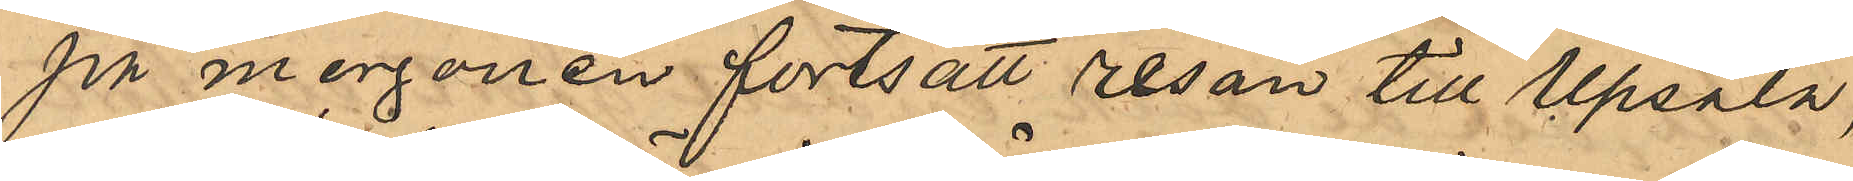på morgonen fortsatt resan till Upsala,
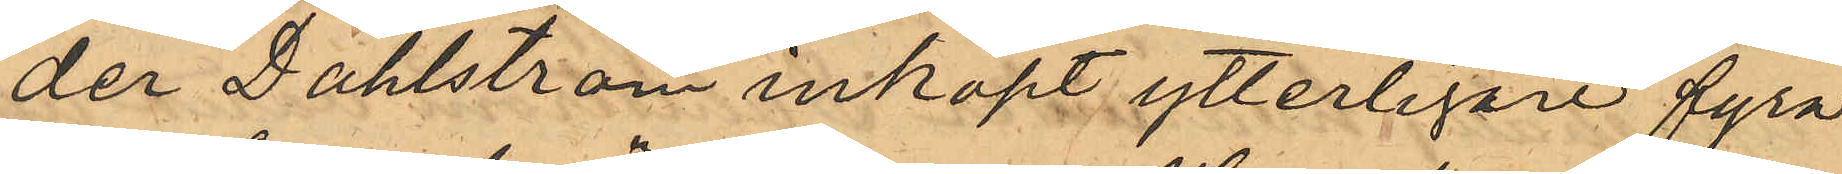der Dahlström inköpt ytterligare fyra
